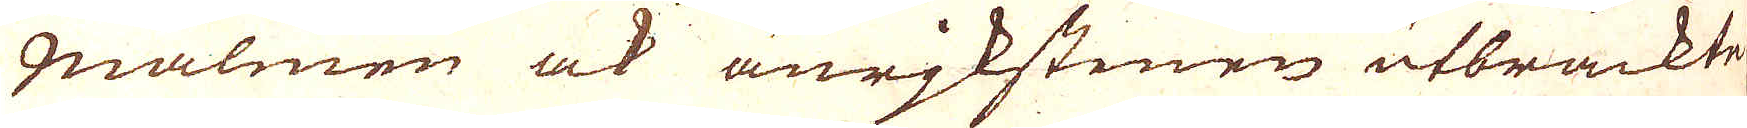malmen ock anrjkstenen utbräckte
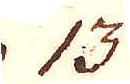13.
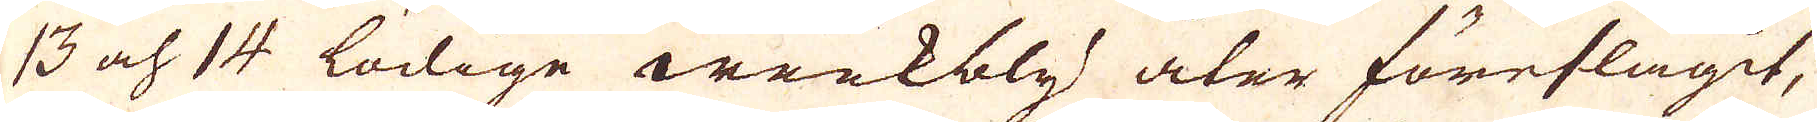13 och 14 lödige werkbly åter föreslagit,
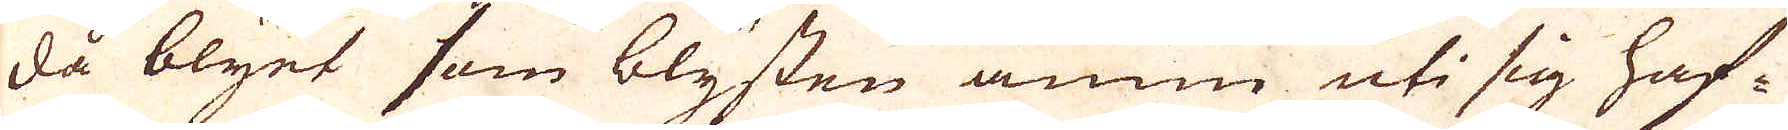då blyet som blysten ännu uti sig haf-
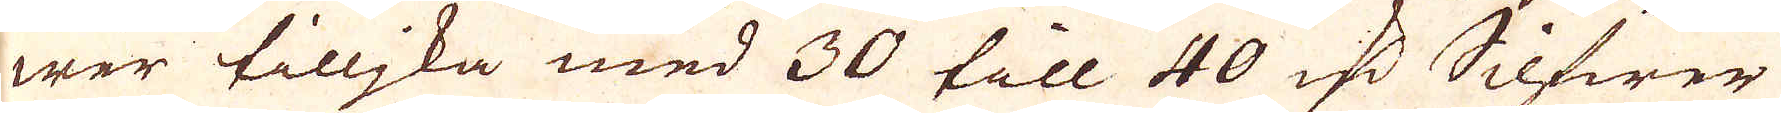wer tilljka med 30 tåll 40 qv:r Silfwer
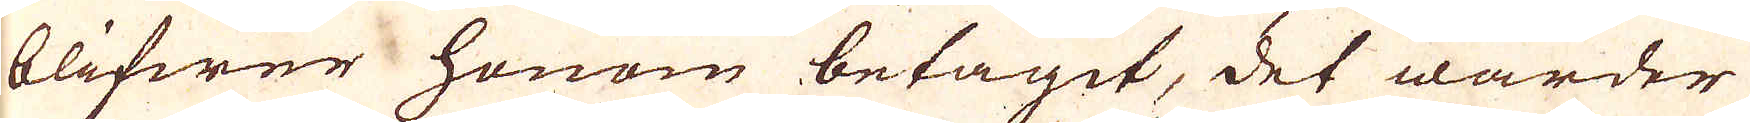blifwer honom betagit, det warder
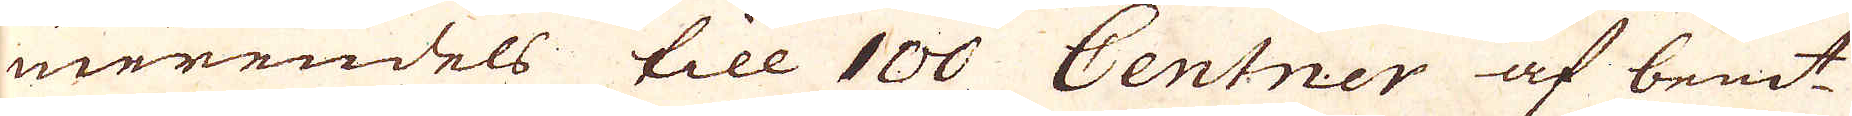merendels till 100 Centner af bem:t
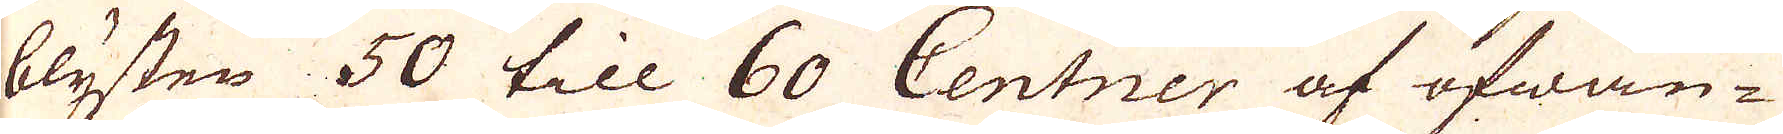blysten 50 till 60 Centner af ofwan-
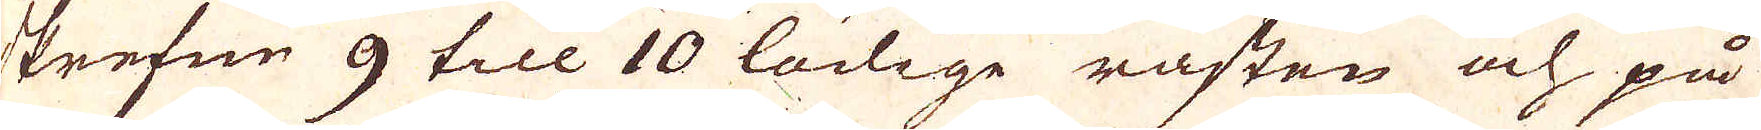skrefne 9 till 10 lölige råsten och på
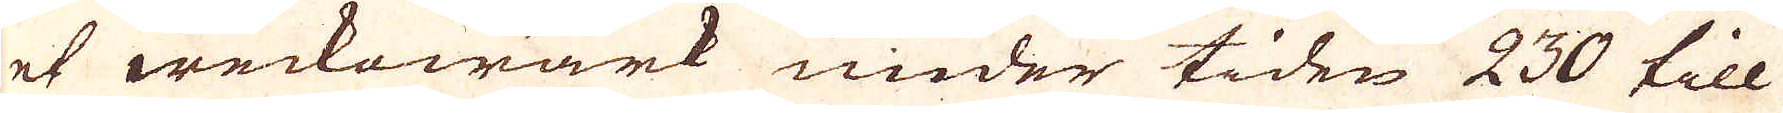et weckowärk under tiden 230 till
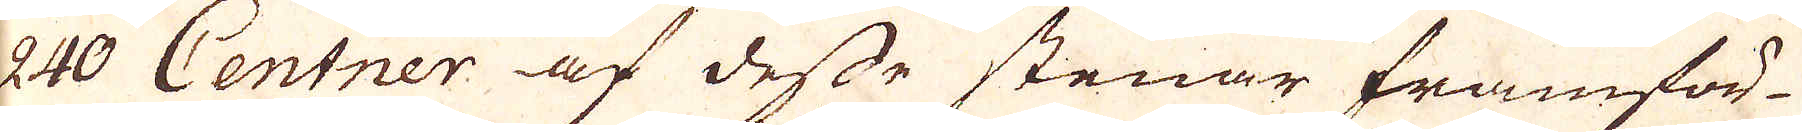240 Centner af desse stenar framför-
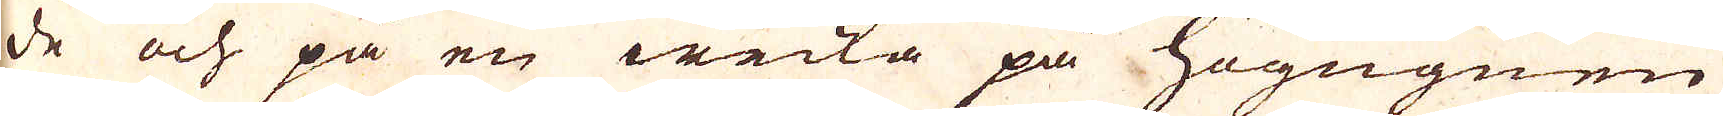de och på en wecka på Högugnen
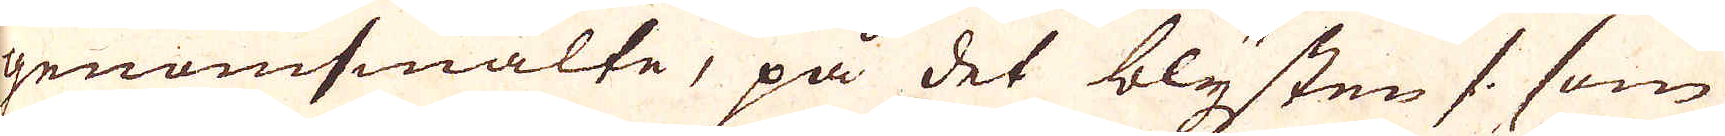genomsmälte, på det blysten /: som
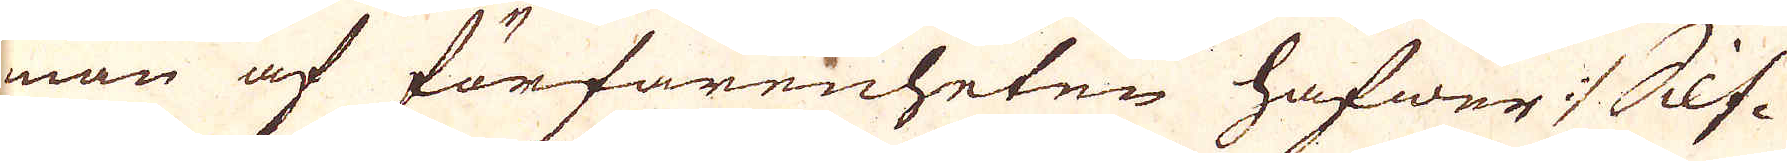man af förfarenheten hafwer :/ Silf-
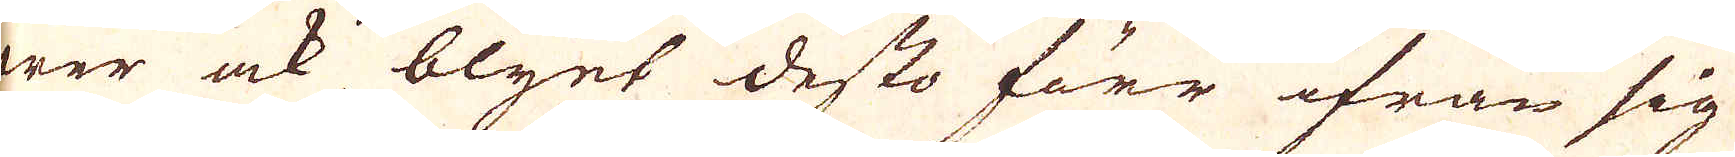wer ock blyet desto förr ifrån sig
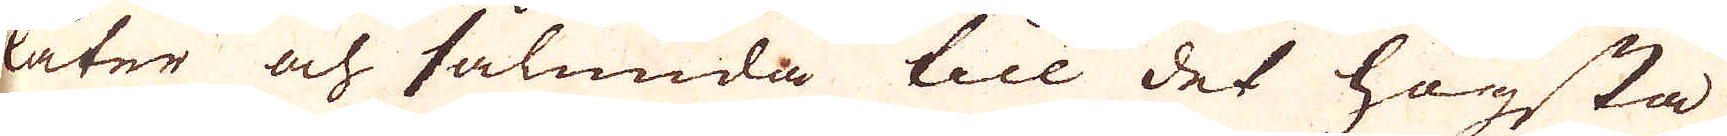låter och sålunda till det högsta
